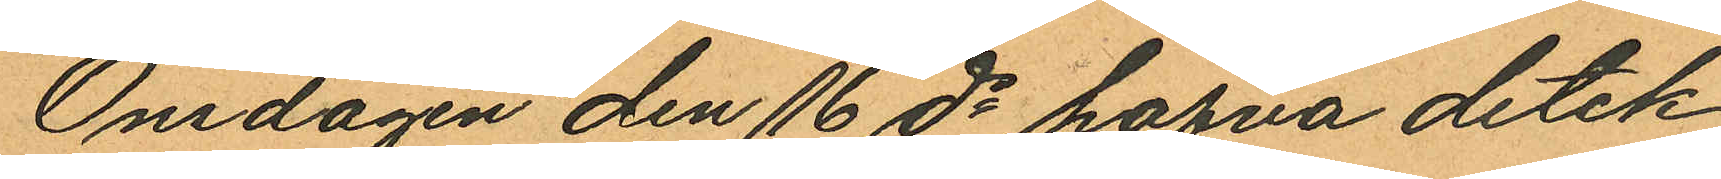Onsdagen den 16 ds hafva detek¬
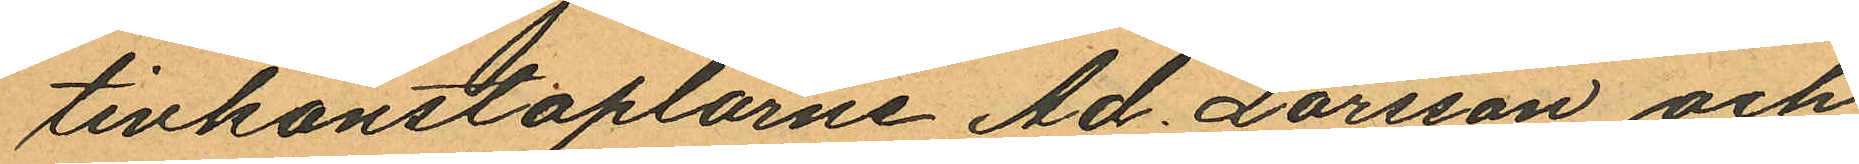tivkonstaplarne Ad. Larsson och
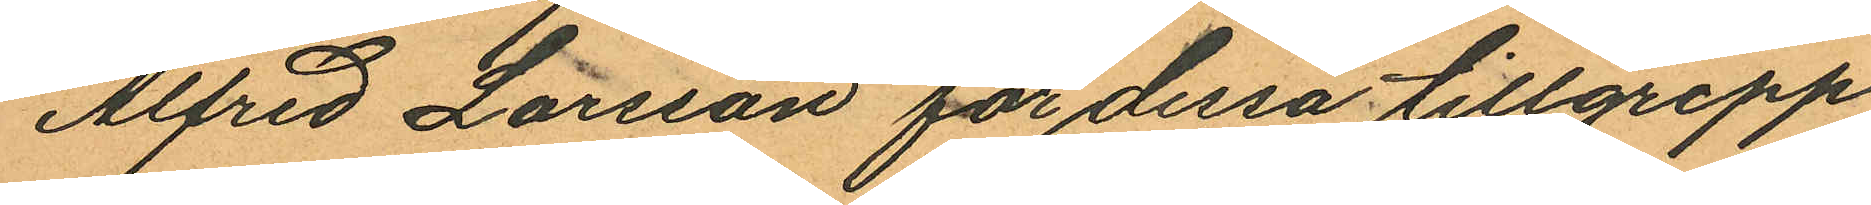Alfred Larsson för dessa tillgrepp
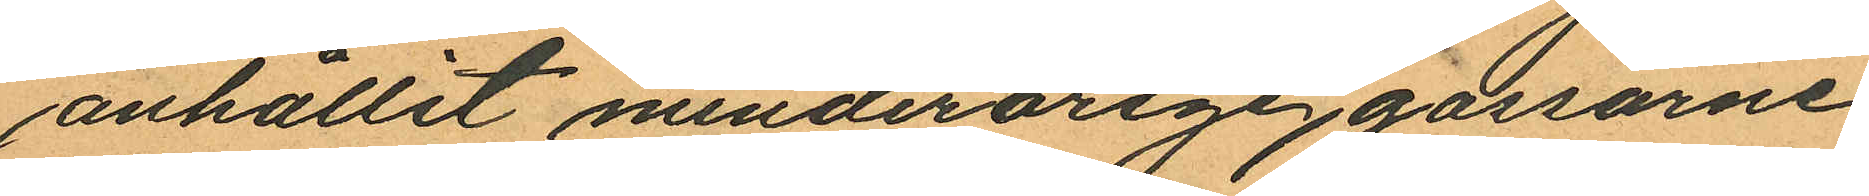anhållit minderårige gossarne
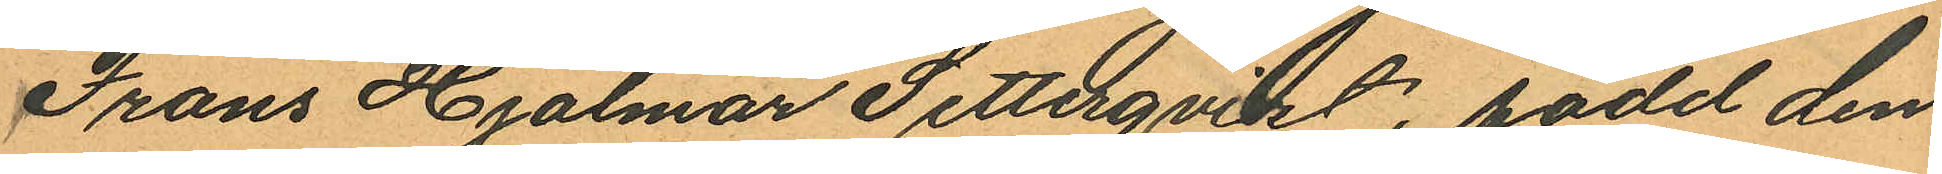Frans Hjalmar Setterqvist, född den
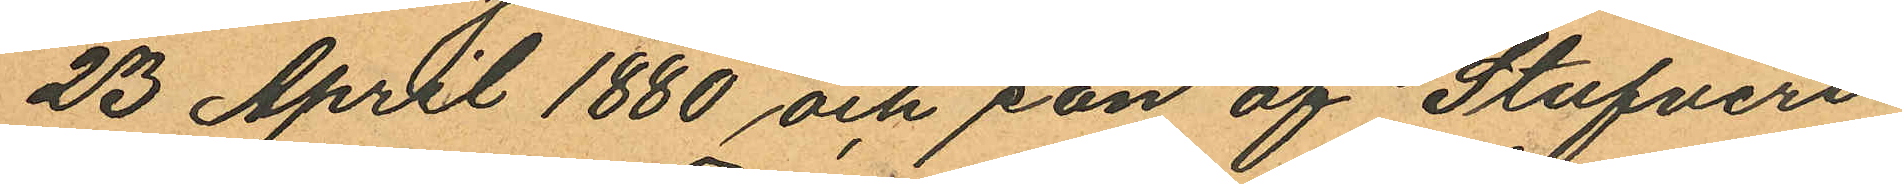23 April 1880 och son af Stufveri¬
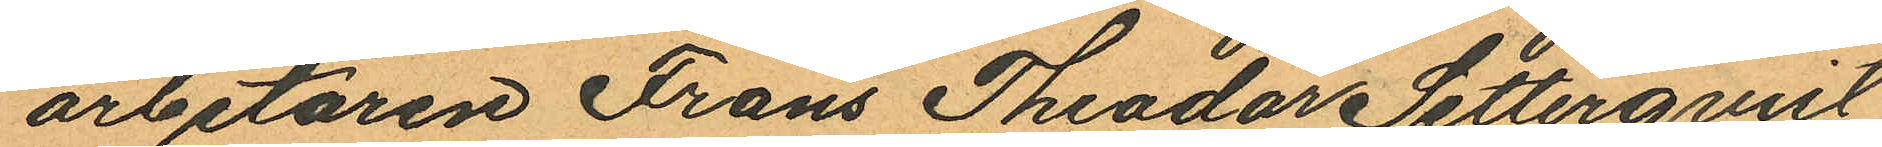arbetaren Frans Theodor Setterqvist
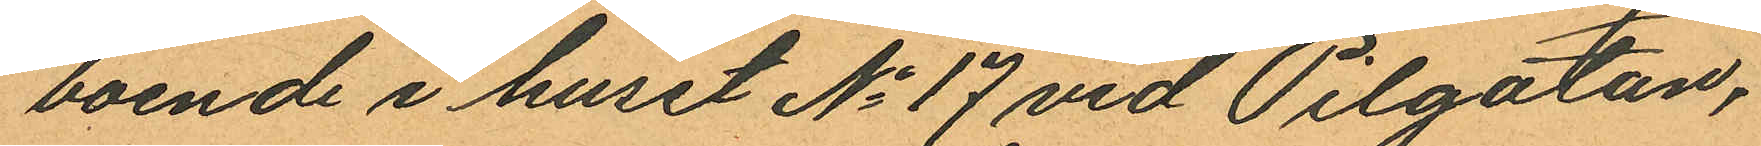boende i huset No 17 vid Pilgatan,
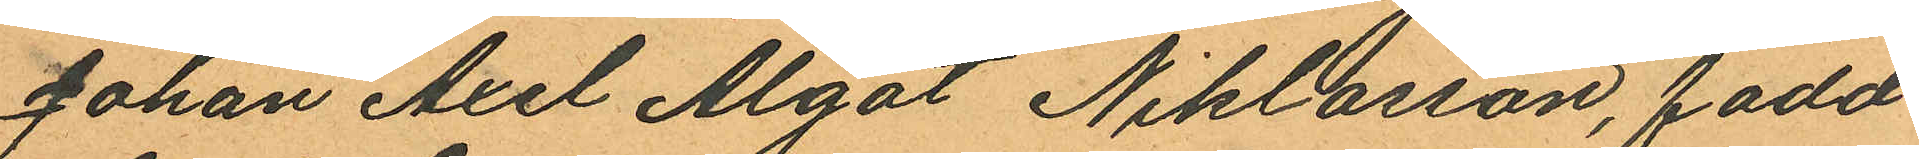Johan Axel Algot Niklasson, född
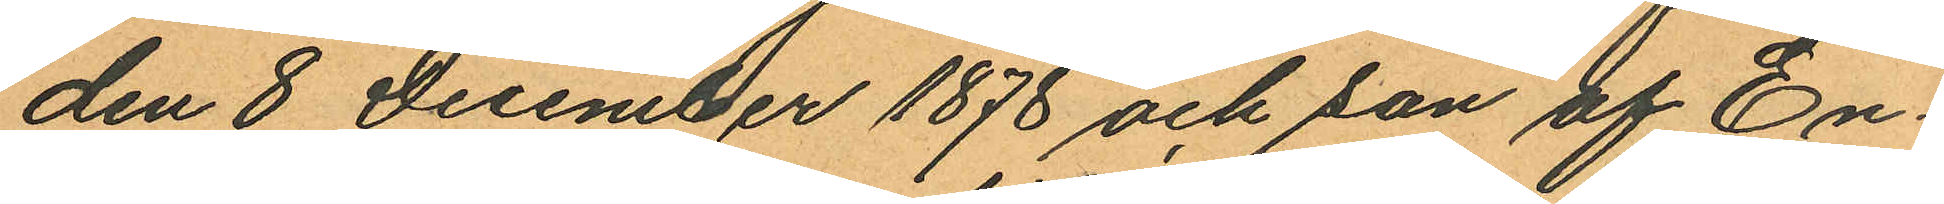den 8 December 1878 och son af En¬
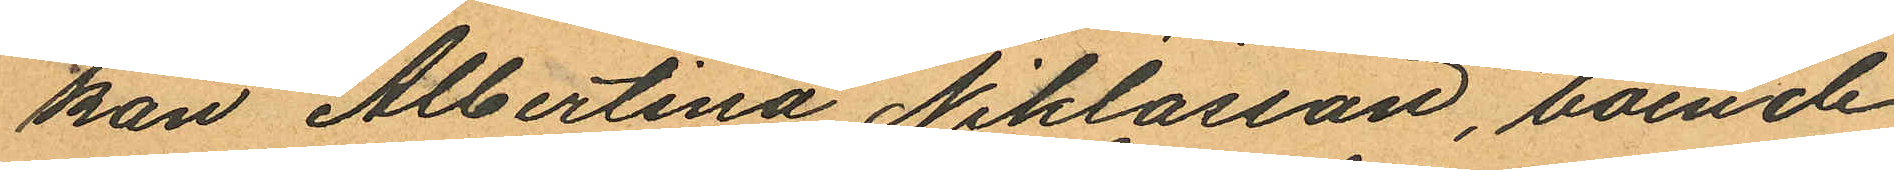kan Albertina Niklasson, boende
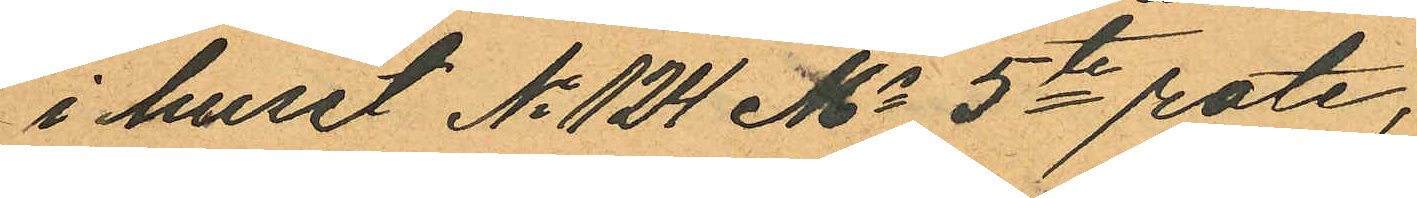i huset No 124 Ms 5te rote,
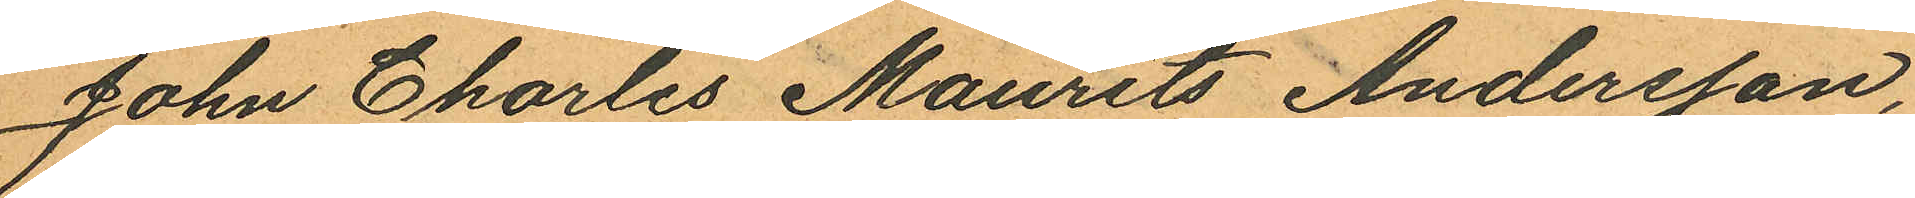John Charles Maurits Andersson,
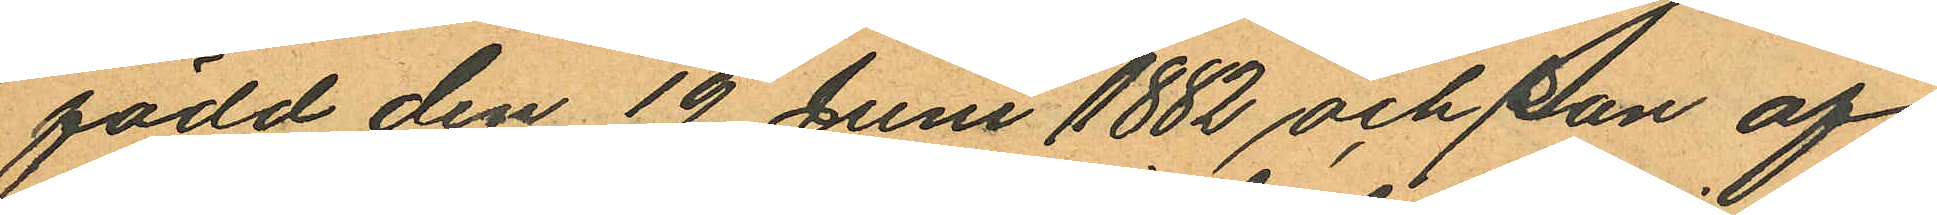född den 19 Juni 1882 och son af
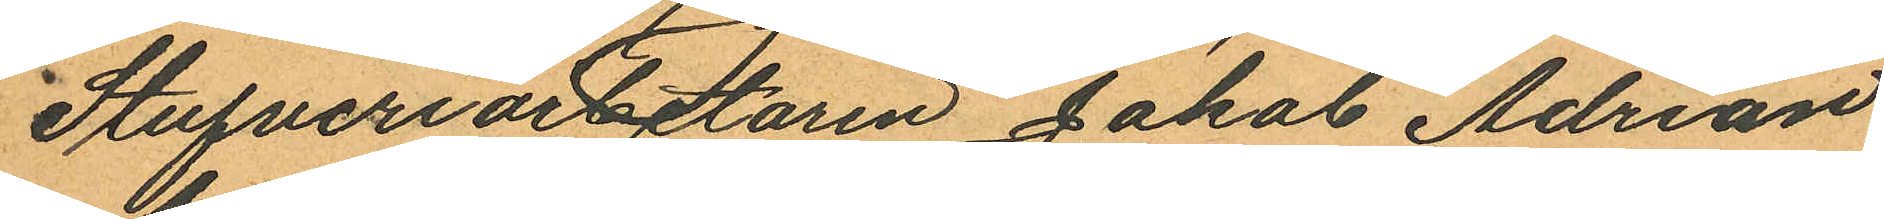Stufveriarbetaren Jakob Adrian
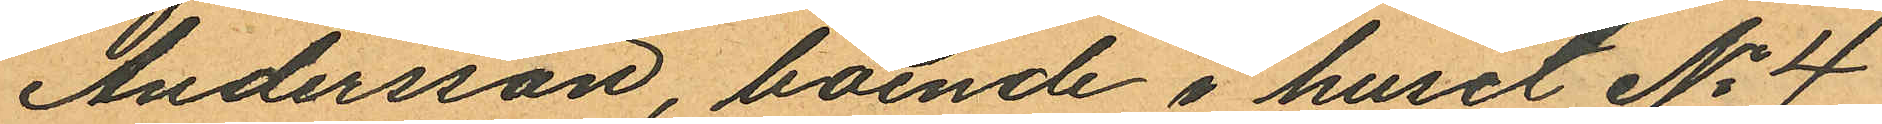Andersson boende i huset No 4
